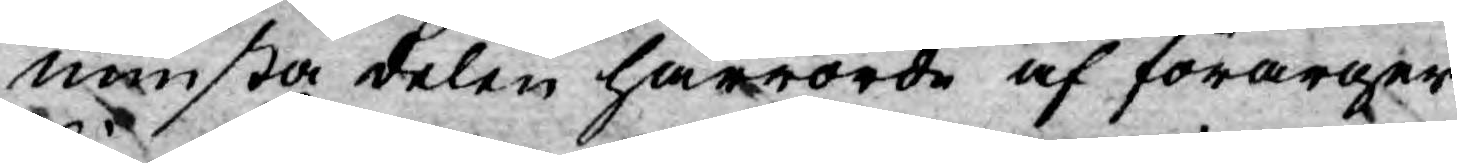minsta delen härrörde af förarger¬
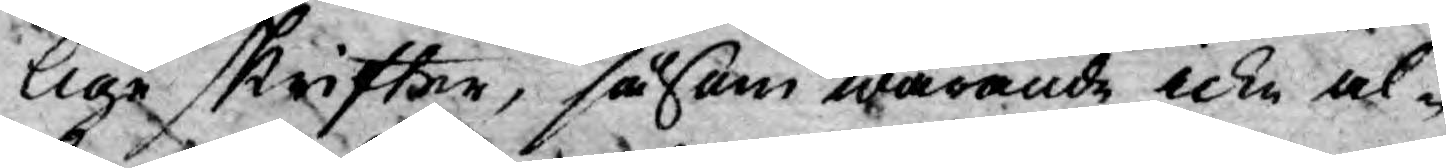lige skrifter, såsom warande icke al¬
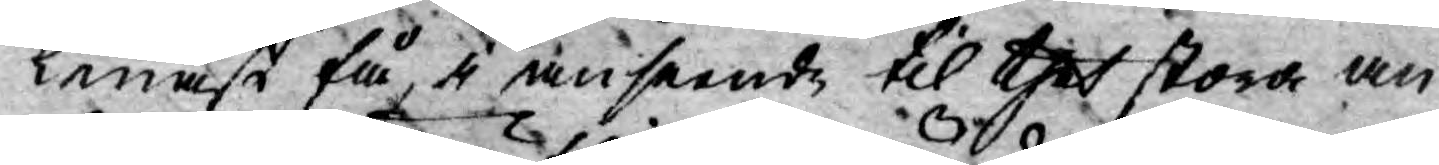lenast få, i anseende til thet stora an¬
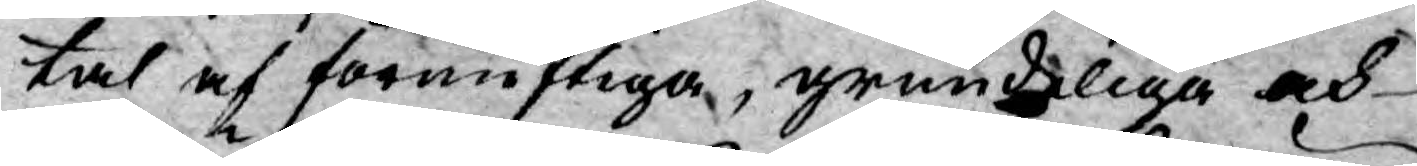tal af förnuftiga, grundeliga och
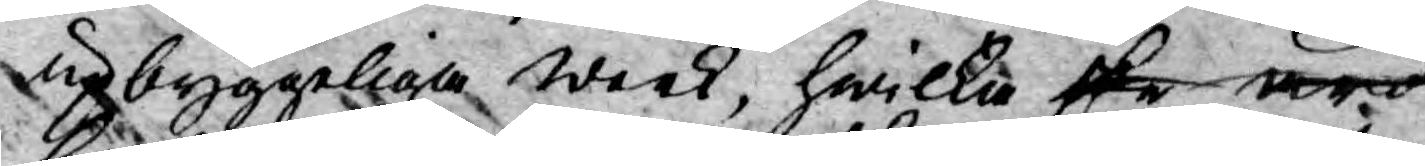upbyggeliga werk, hwilka ske äro
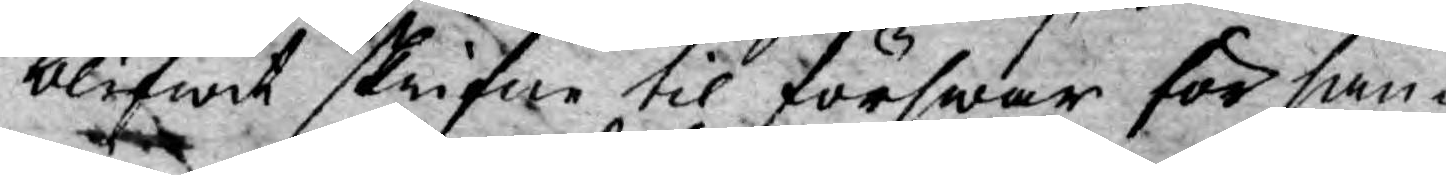blifwit skrifne til förswar för san¬
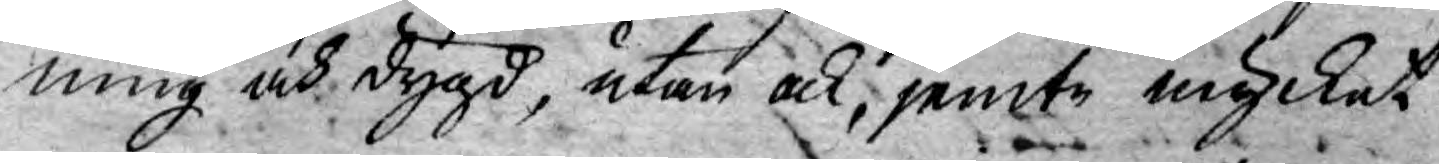ning och dygd, utan ock, jemte mycket
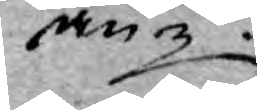an¬
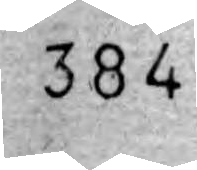384
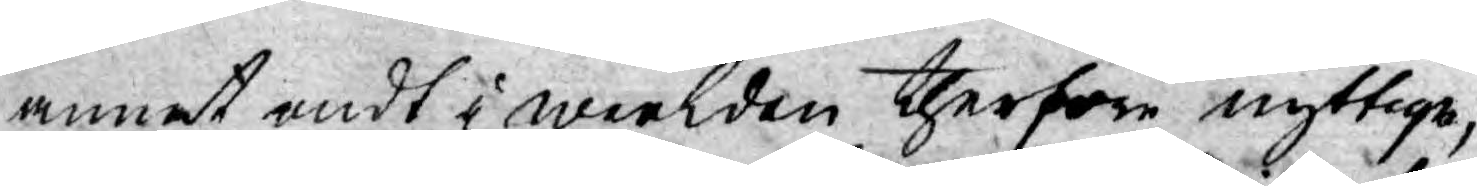annat ondt i werlden therföre nyttige,
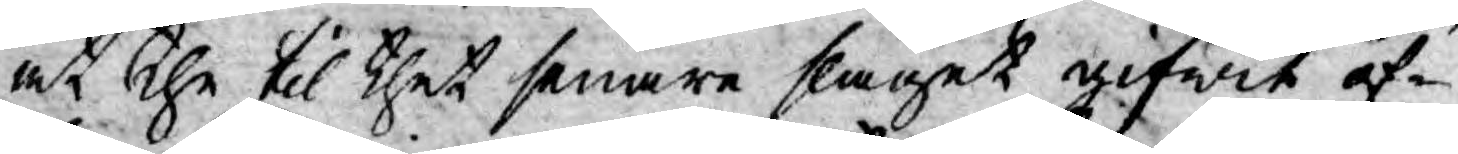at the til thet senare slaget gifwit of¬
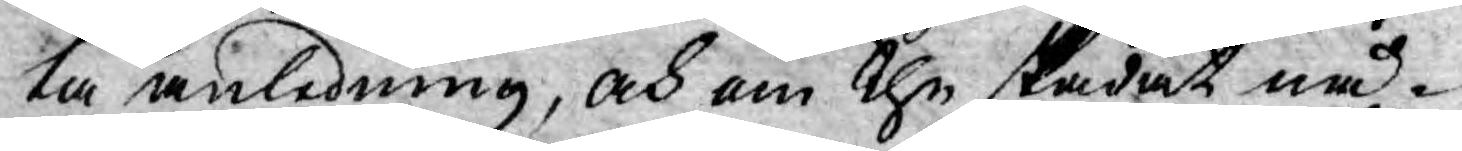ta anledning, och om the skadat nå¬
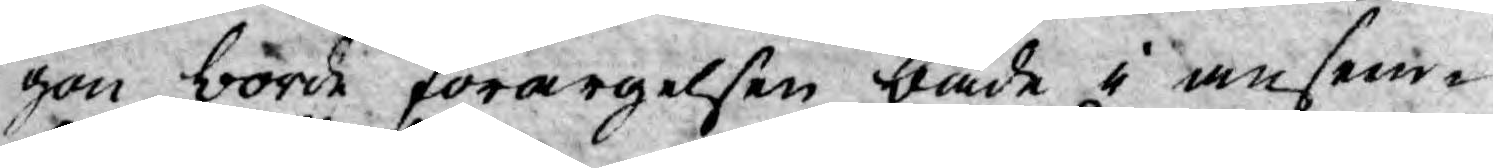gon borde förargelsen både i anseen¬
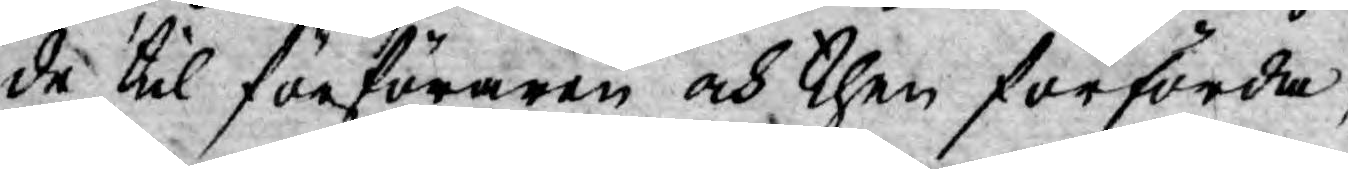de til förföraren och then förförda,
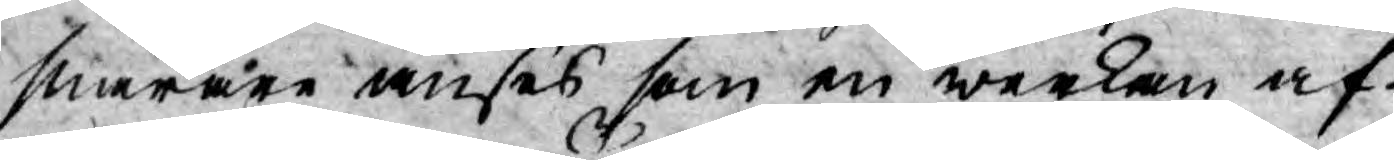snarare anses som en werkan af
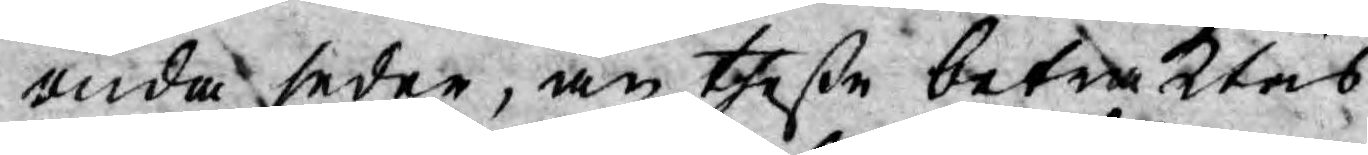onda seder, än theße betraktas
